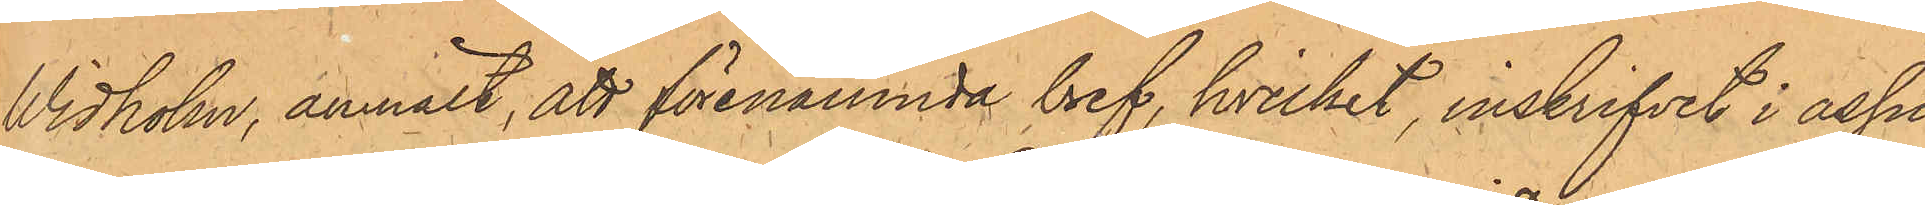Vidholm, anmält, att förenämnda bref, hvilket, inskrifvet i assu¬
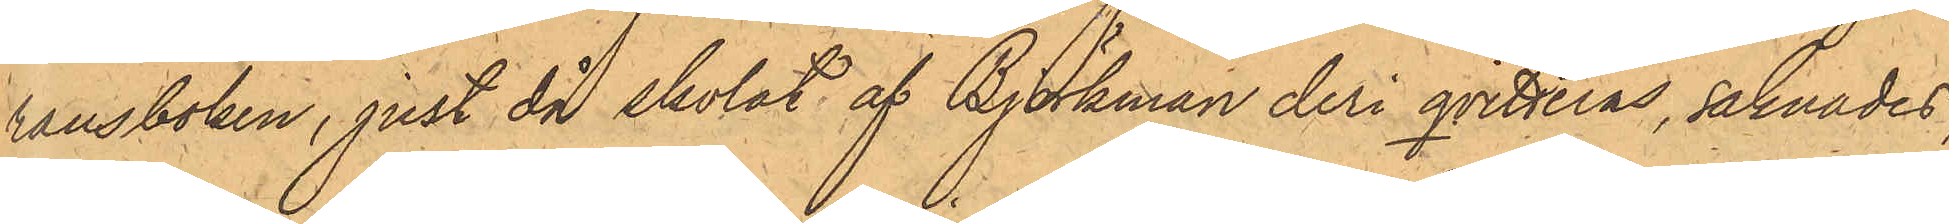ransboken, just då skolat af Björkman deri qvitteras, saknades;
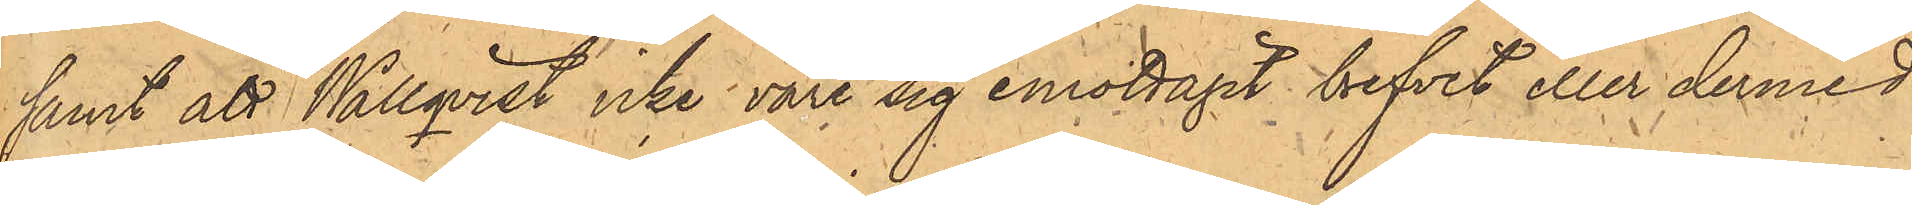samt att Wallqvist icke vare sig emottagit brefvet eller dermed
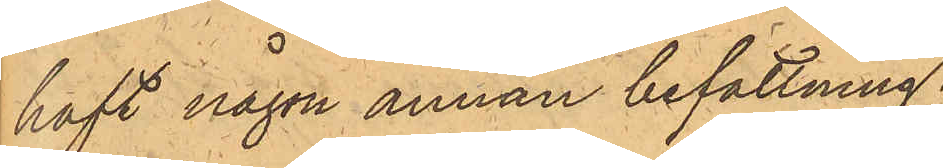haft någon annan befattning;
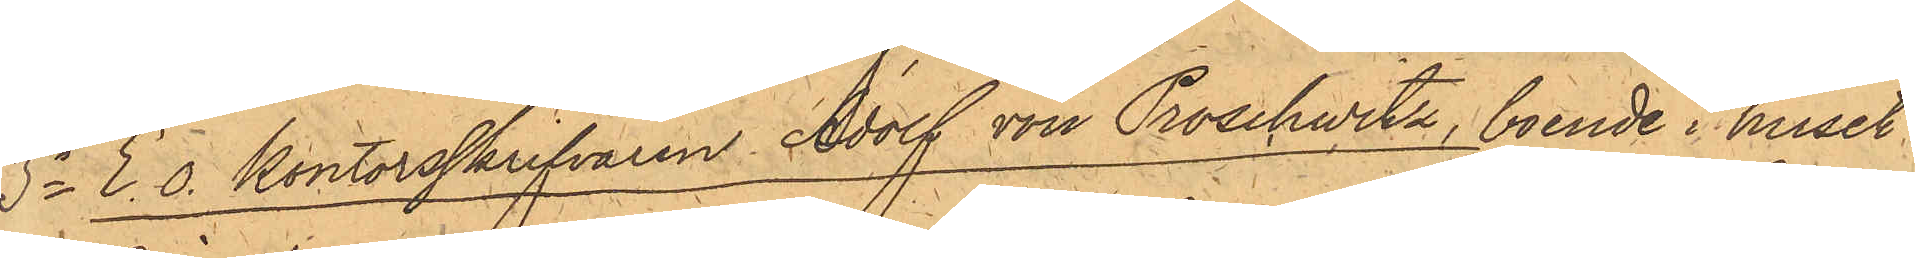3o E. o. kontorsskrifvaren Adolf von Proschwitz, boende i huset
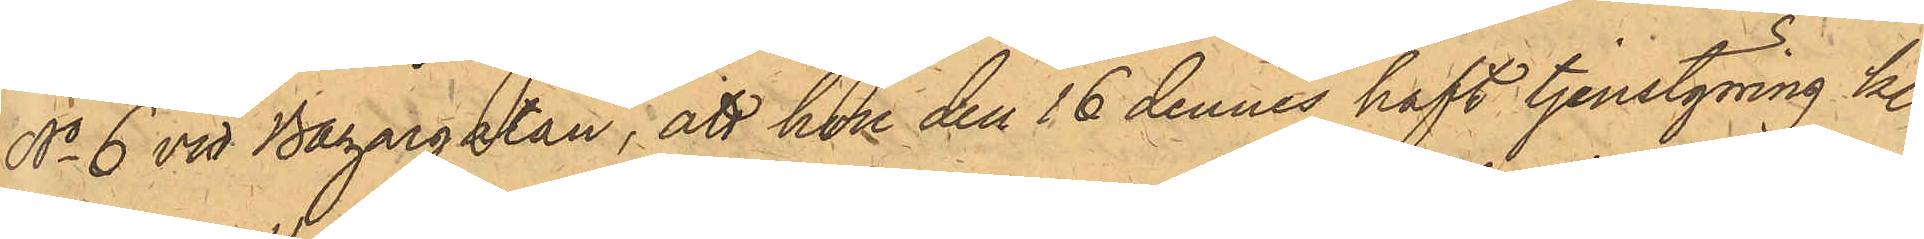No 6 vid Bazargatan; att hon den 16 dennes haft tjenstgöring kl.
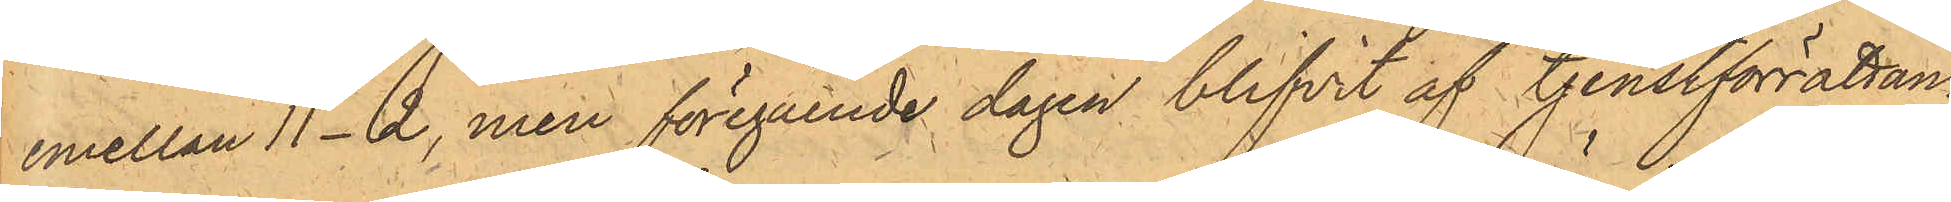emellan 11-2, men föregående dagen blifvit af tjenstförrättan¬
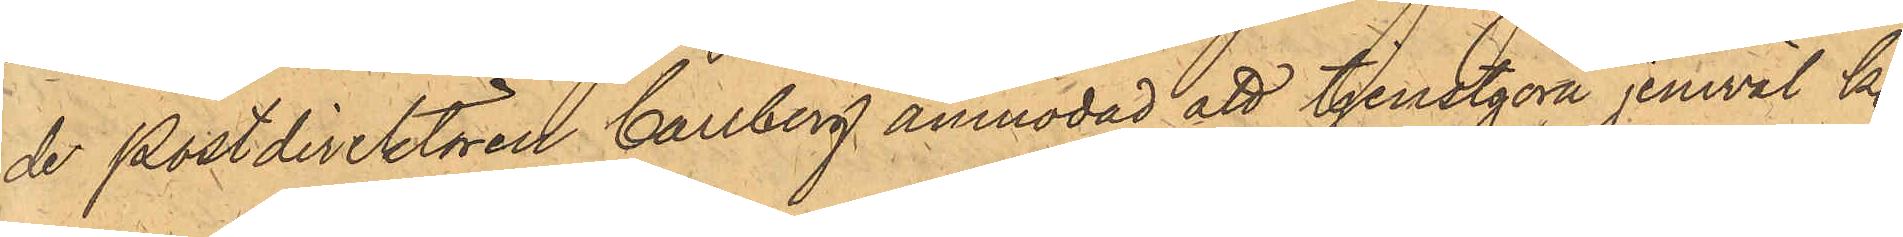de Postdirektören Carlberg anmodad att tjenstgöra jemväl kl.
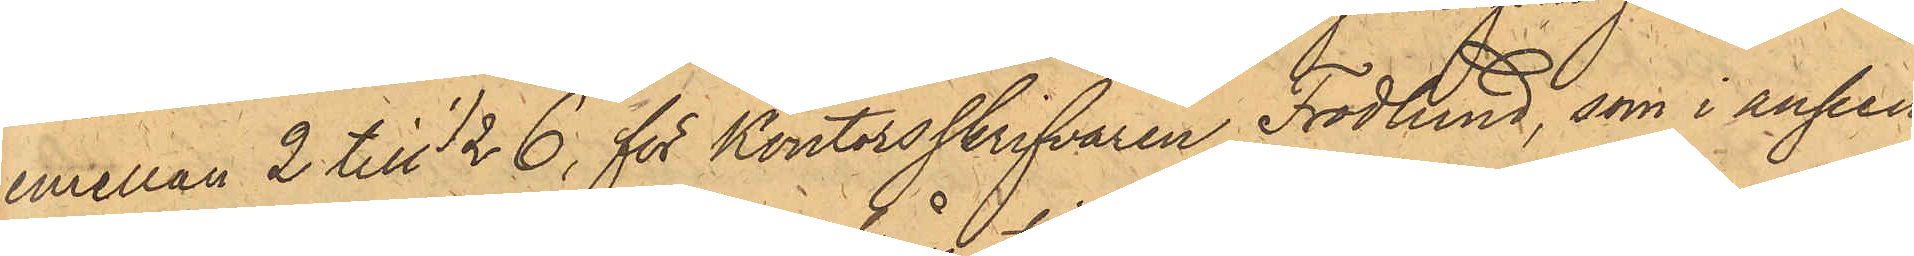emellan 2 till 1/2 6, för Kontorsskrifvaren Frodlund, som i ansen¬
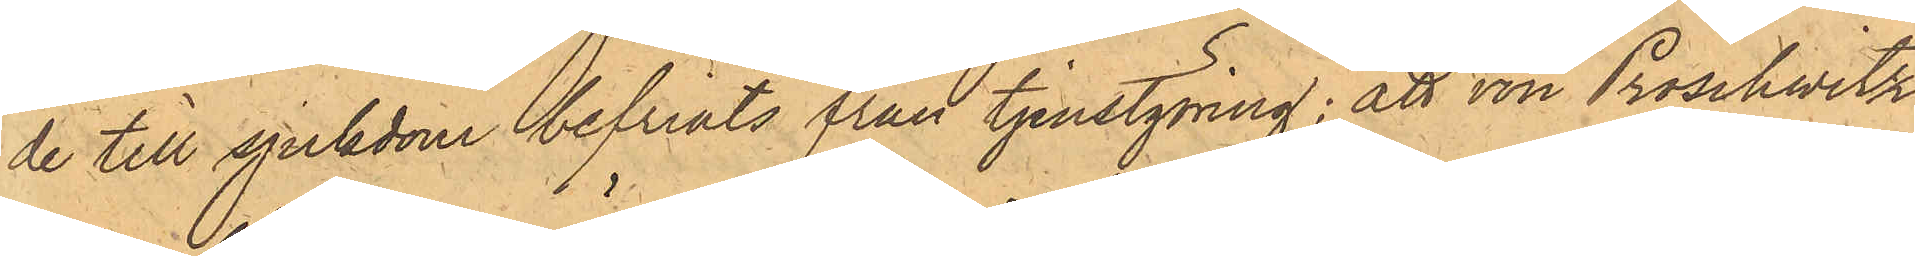de till sjukdom befriats från tjenstgöring; att von Proschwitz
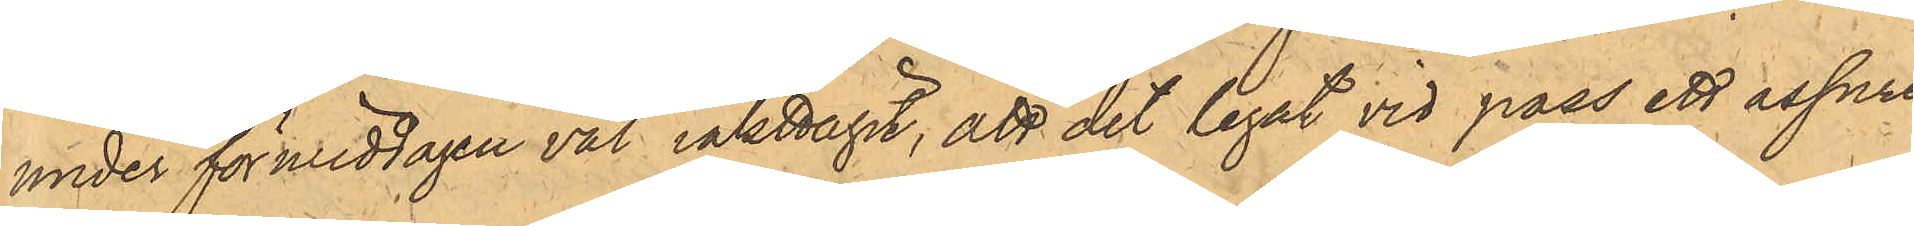under förmiddagen väl iakttagit, att det legat vid pass ett assure¬
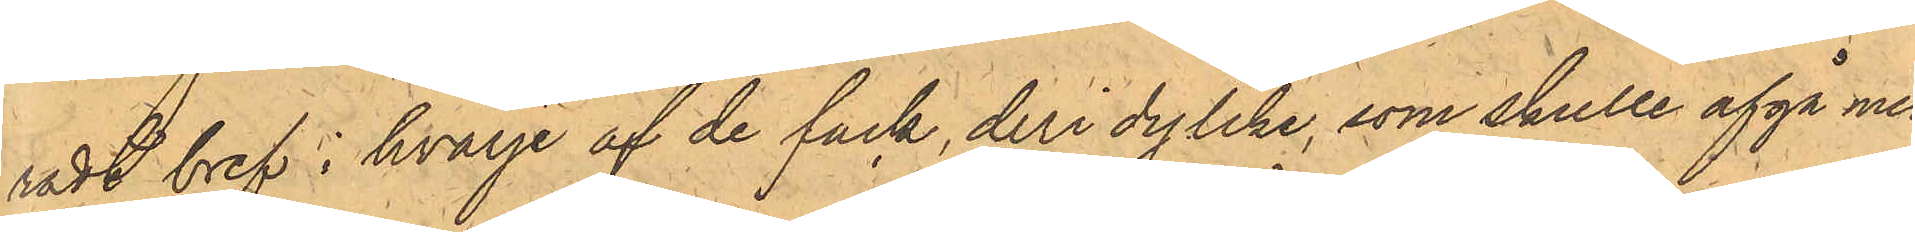radt bref i hvarje af de fack, deri dylike, som skulle afgå med
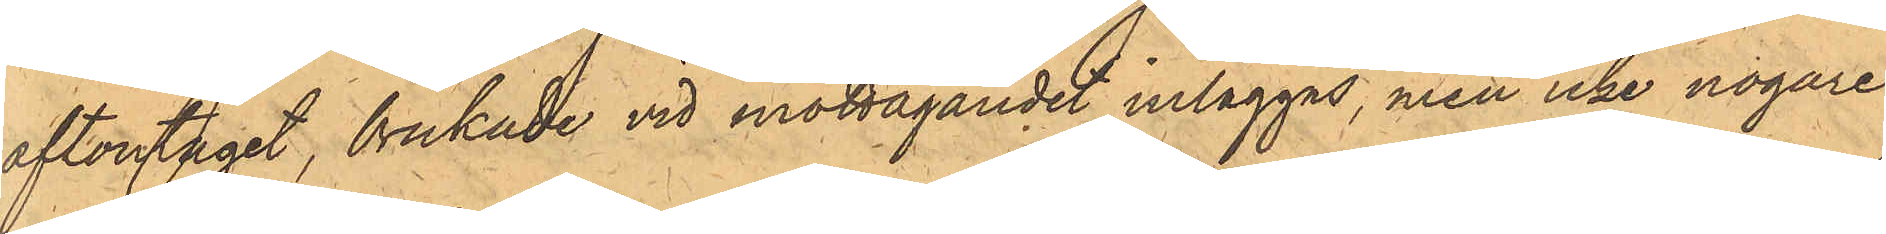aftontåget, brukade vid mottagandet inläggas, men icke nogare
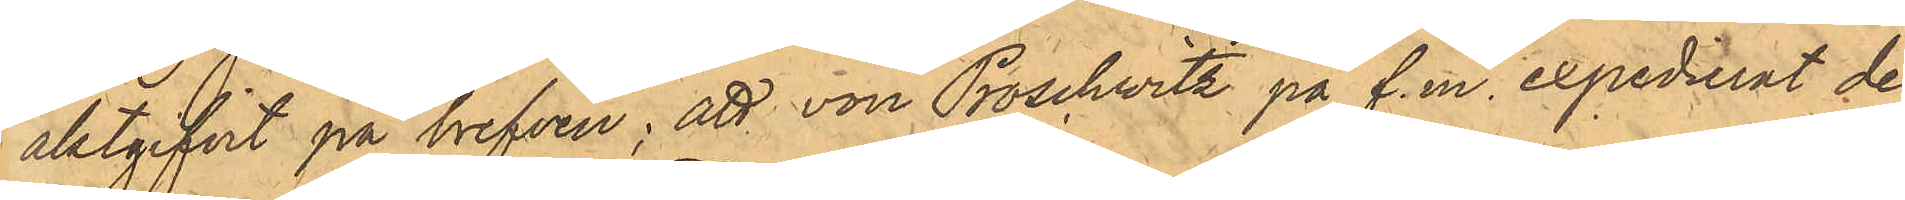aktgifvit på brefven; att von Proschwitz på f.m. expedierat de
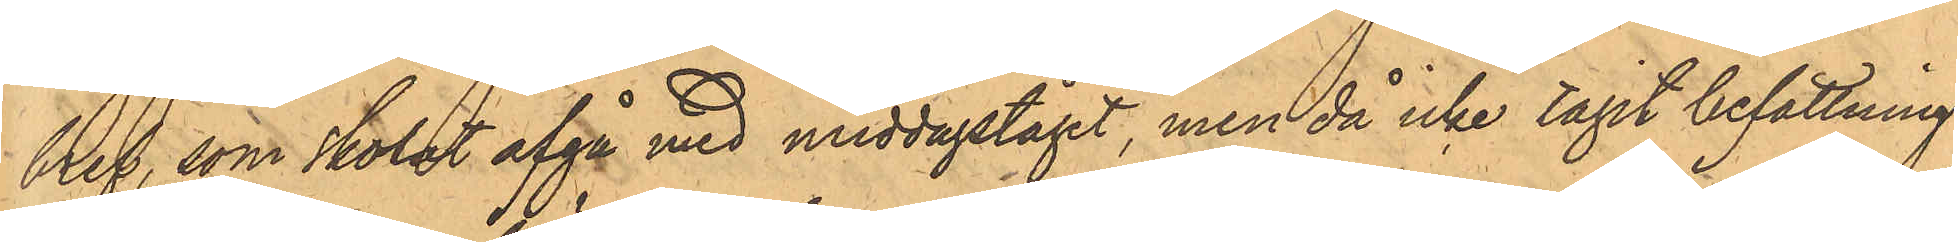bref, som skolat afgå med middagståget, men då icke tagit befattning
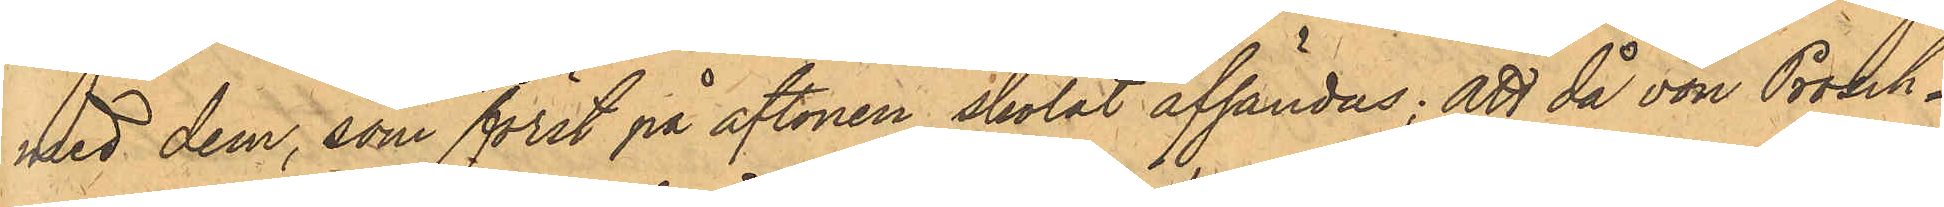med dem, som först på aftonen skolat afsändas; att då von Prosch¬
